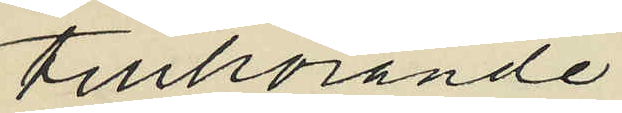tillhörande
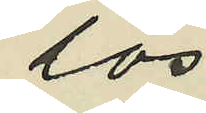lös
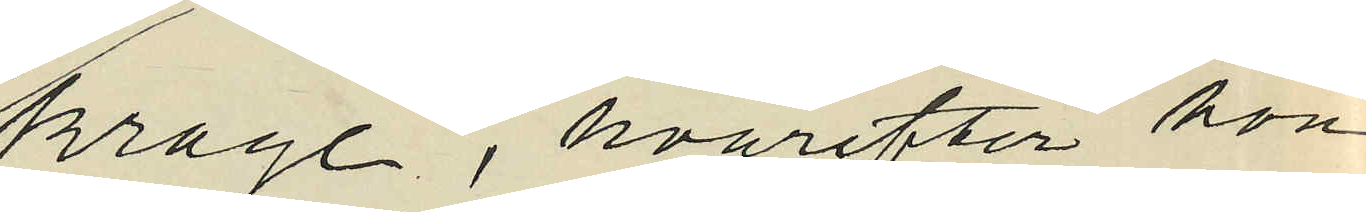krage, hvarefter hon
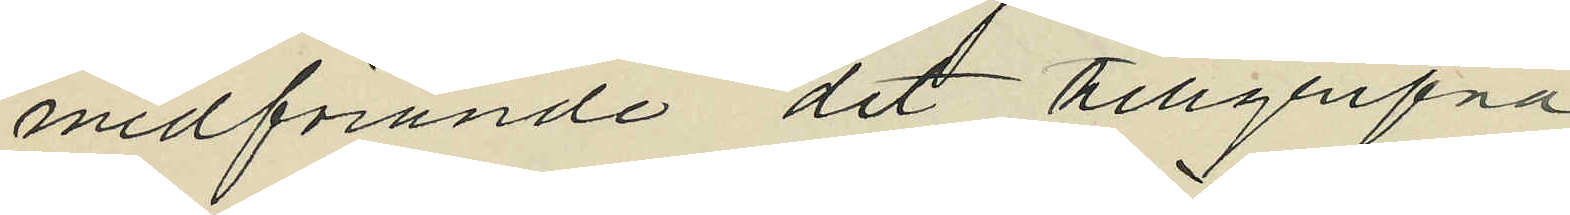medförande det tillgripna
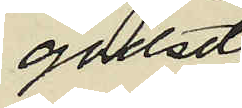godset
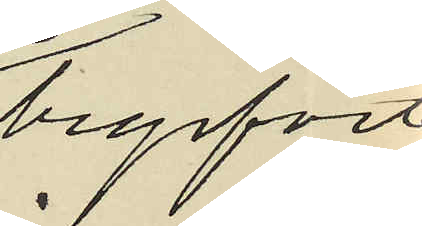begifvit
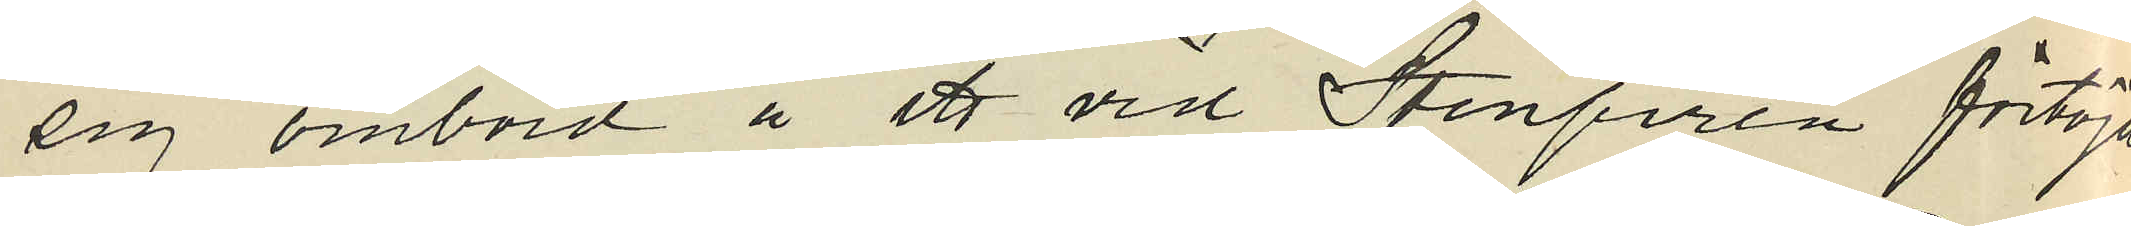sig ombord å ett vid Stenpiren förtöjdt
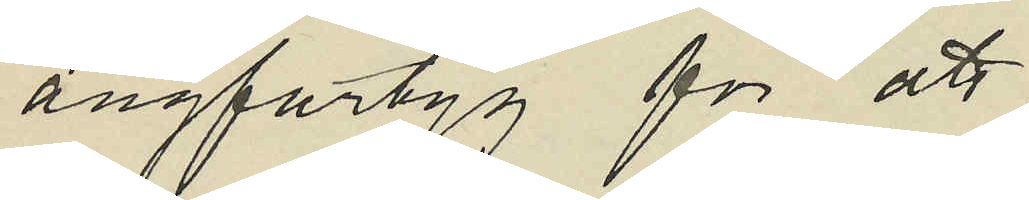ångfartyg för att
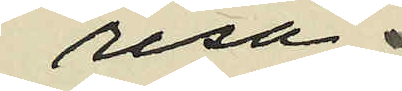resa
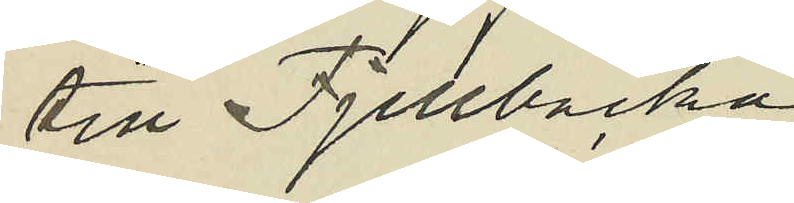till Fjellbacka
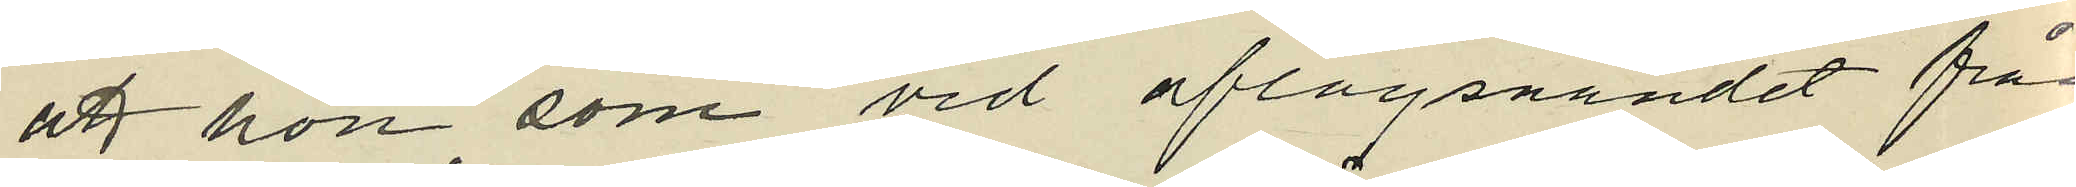att hon, som vid aflägsnandet från
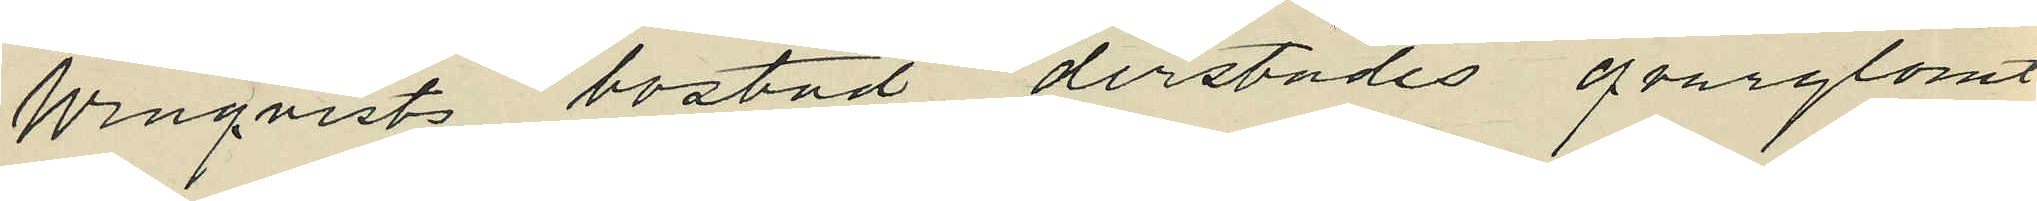Winqvists bostad derstädes qvarglömt
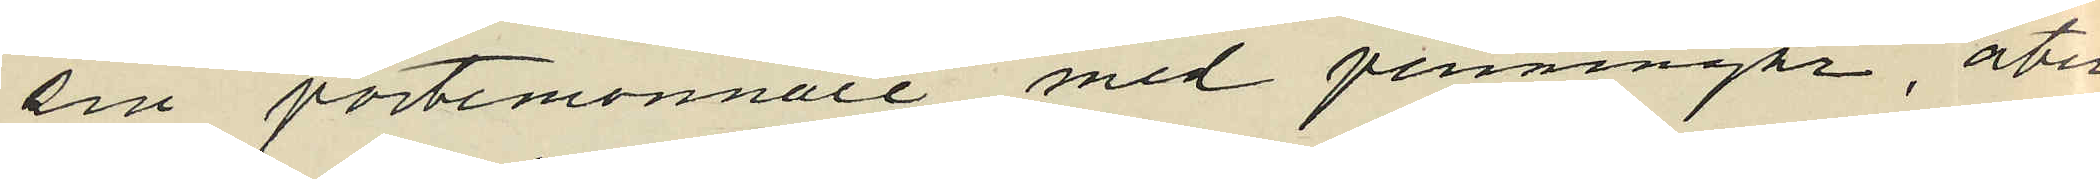sin portemonnaie med penningar, åter
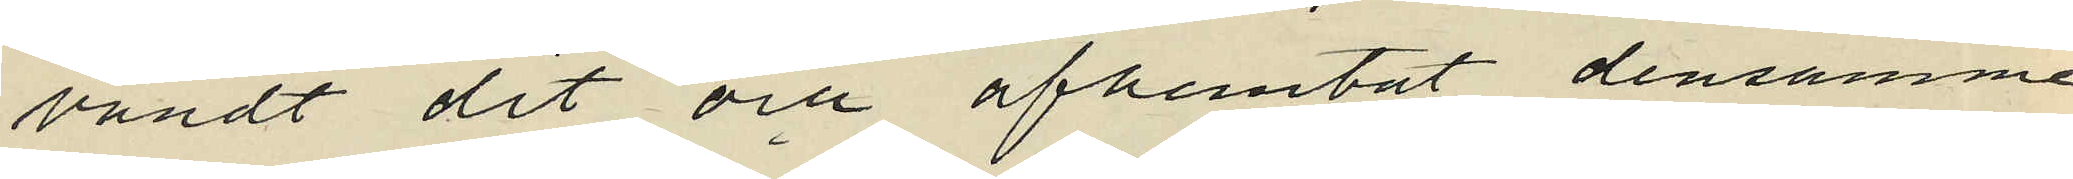vändt dit och afhemtat densamme
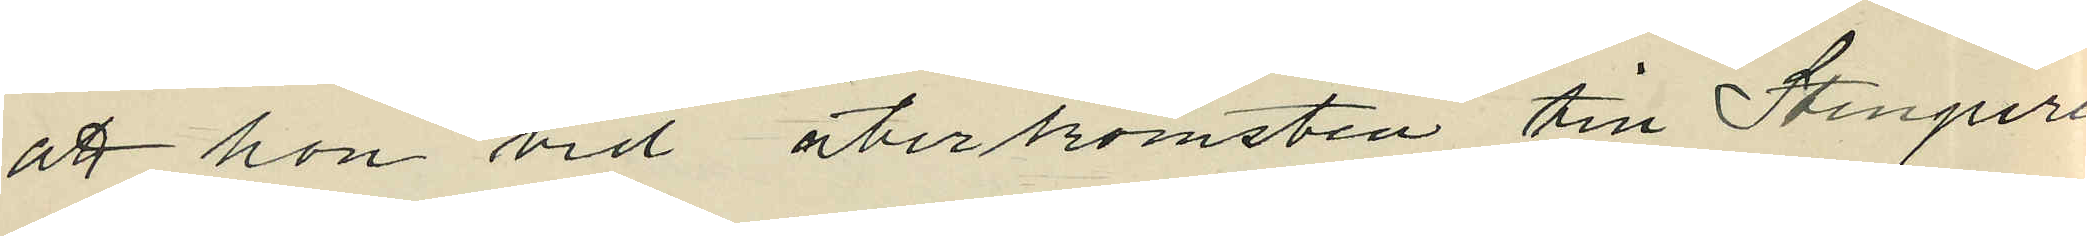att hon vid återkomsten till Stenpiren
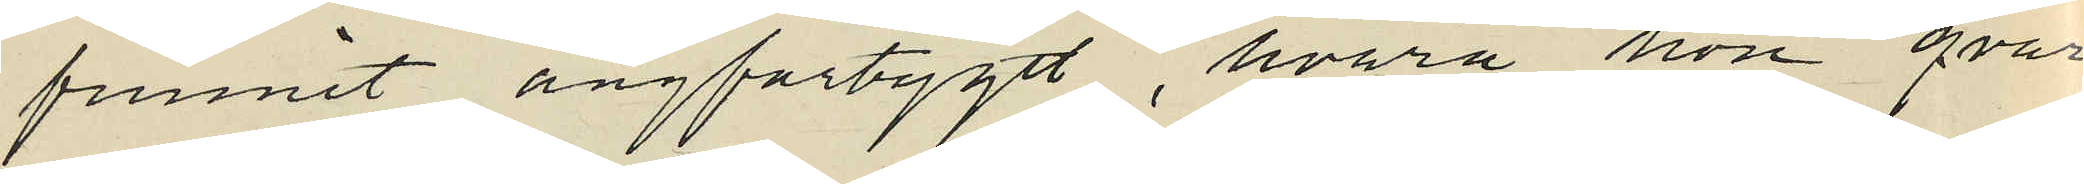funnit ångfartyget, hvarå hon qvar
